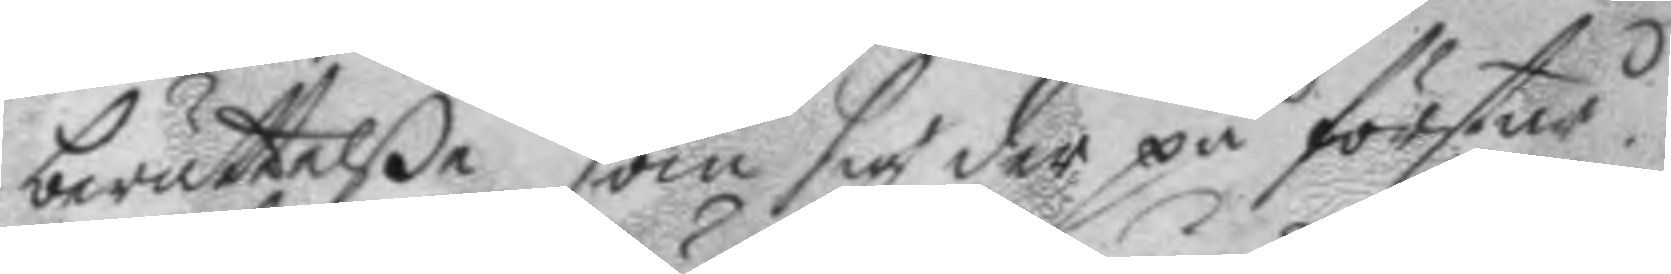berättelße som sig der på förstår.
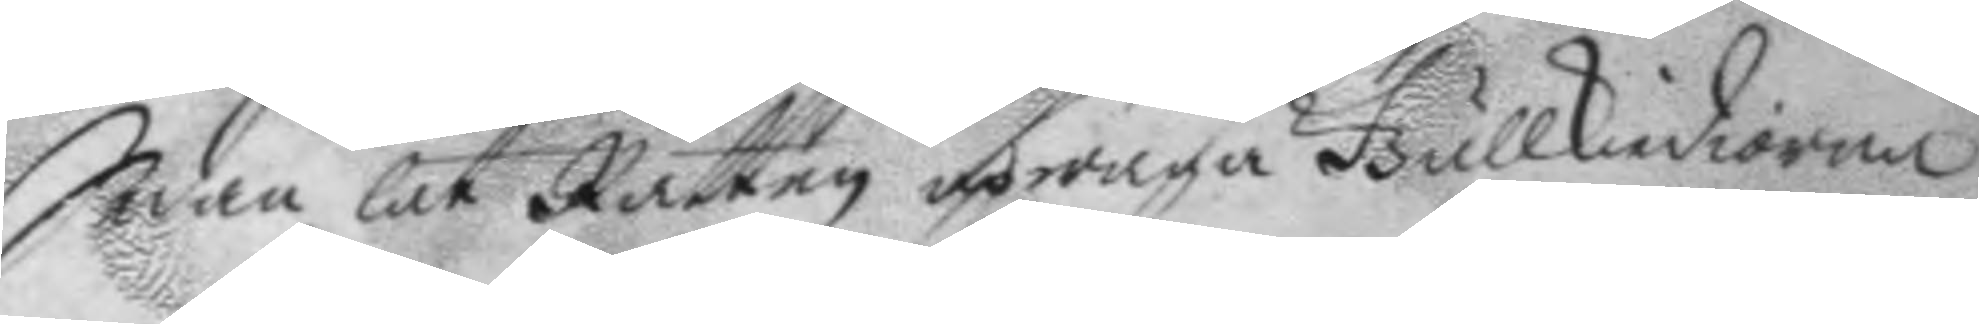Sedan lät Rätten upwäga Gullkiediorna
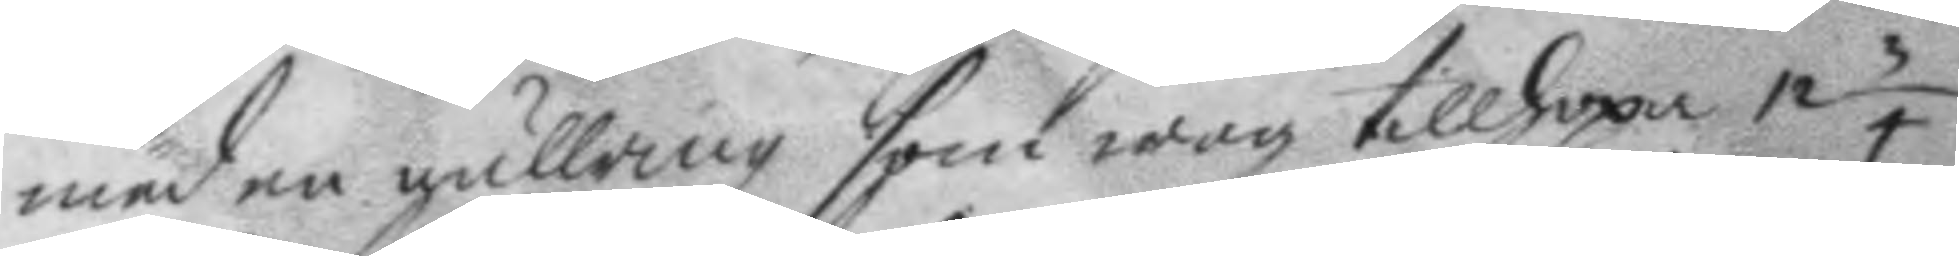med en gullring som wog tillhopa 12 3/4
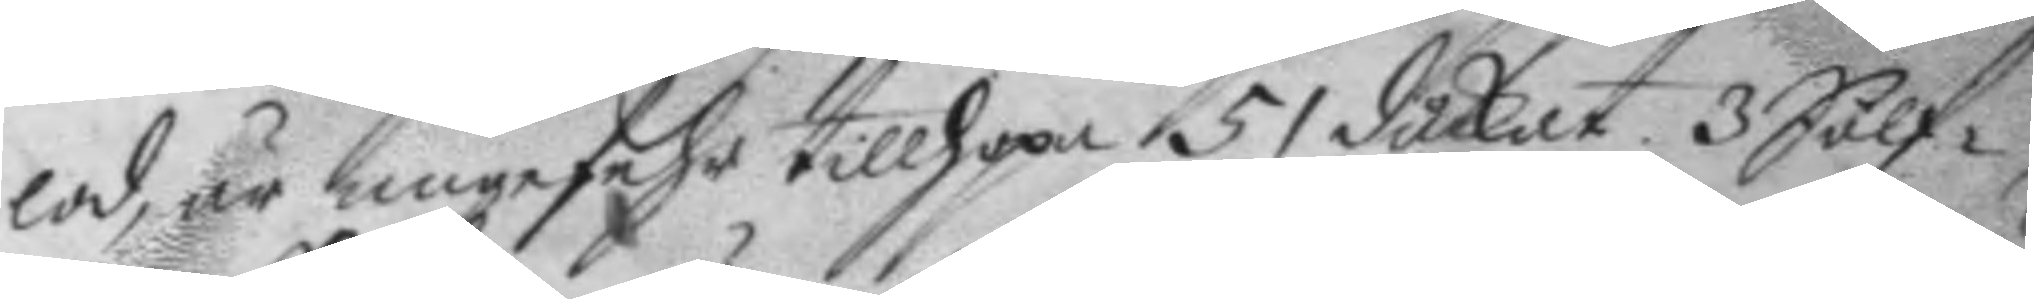lod, är ungefehr tillhopa 51 duckat, 3 Sölf¬
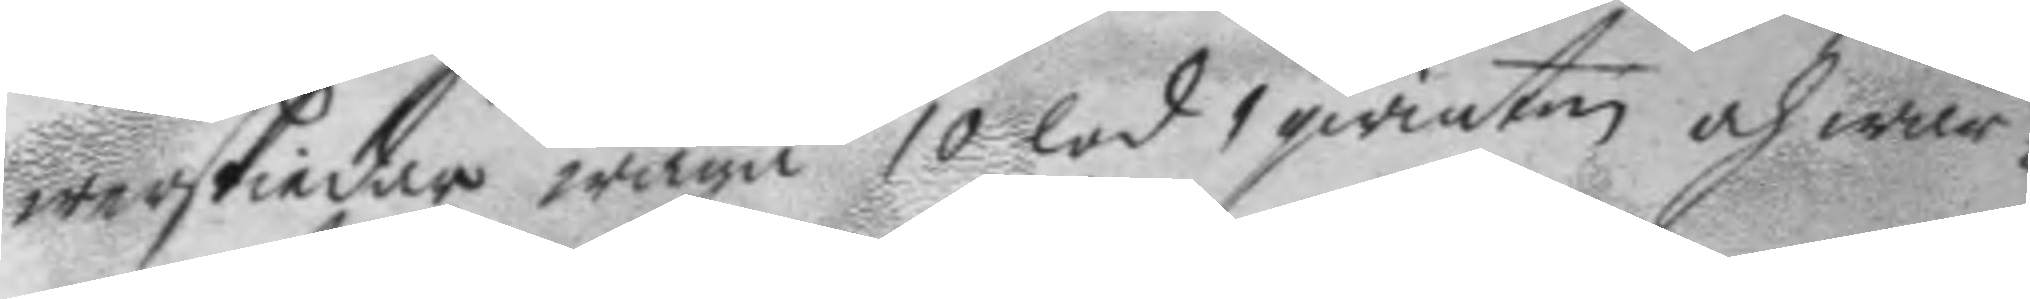werskiedar wäga 10 lod 1 qwinten och wär¬
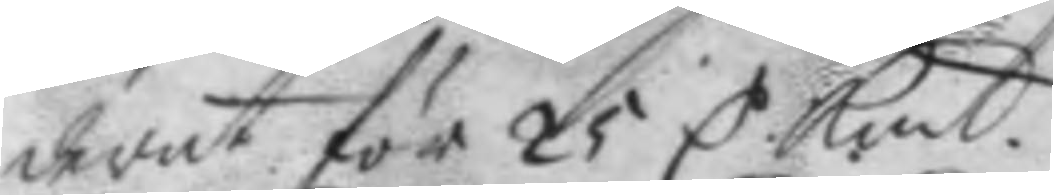derat för 25 C Kmt. 
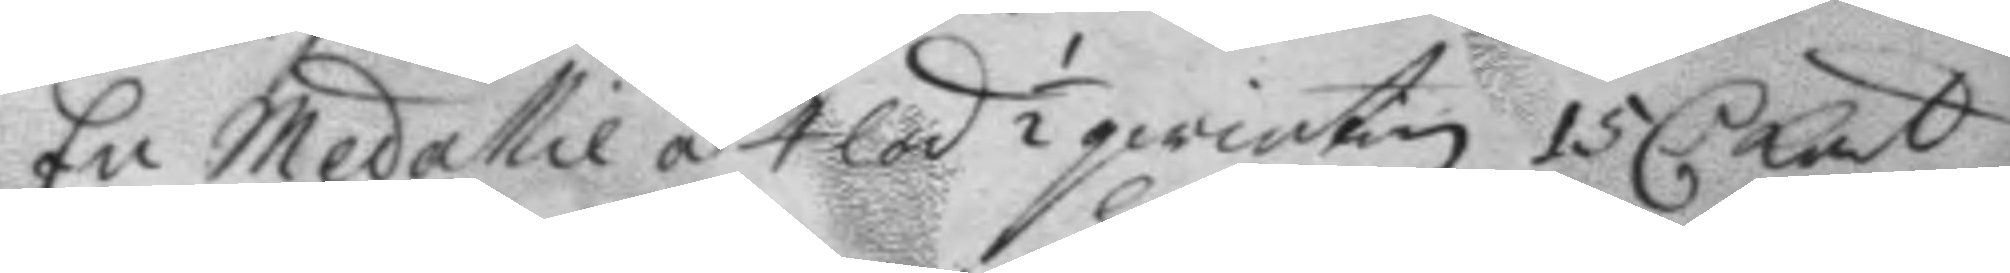En Medallie á 4 lod ½ qwinten 15 C: Kmt 
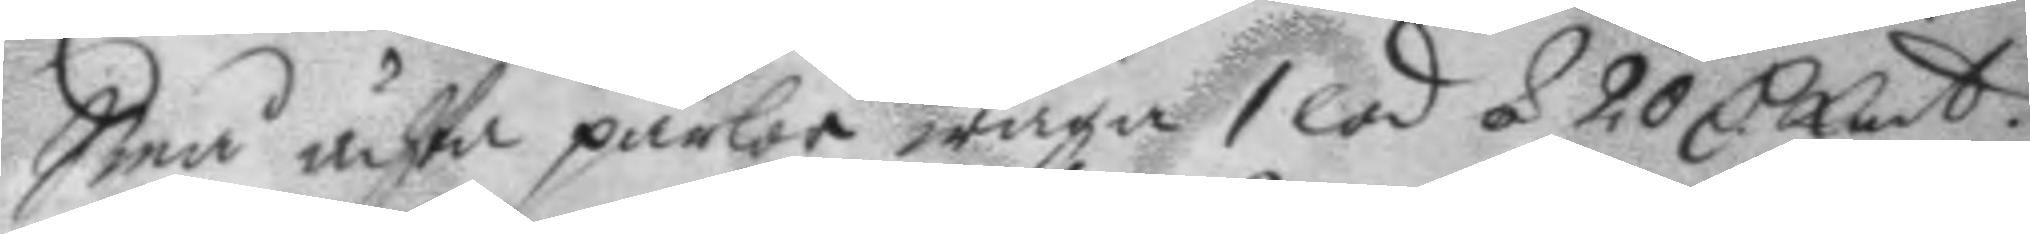Små ächta pärlor wäga 1 lod á 20 C Kmt. 
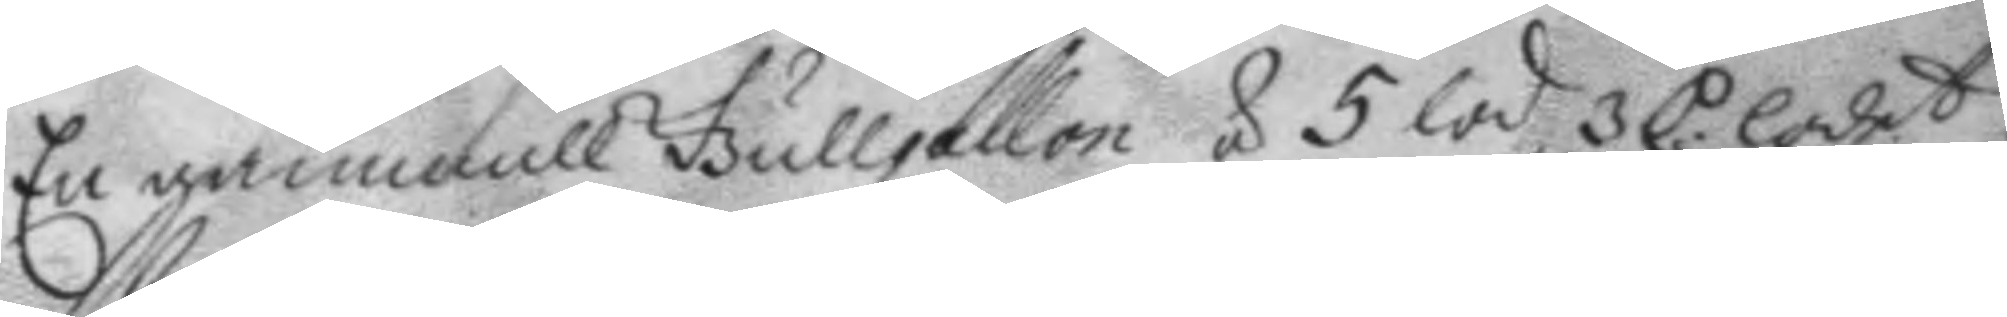En gammall Gullgallon á 5 lod 3 C. lodet,
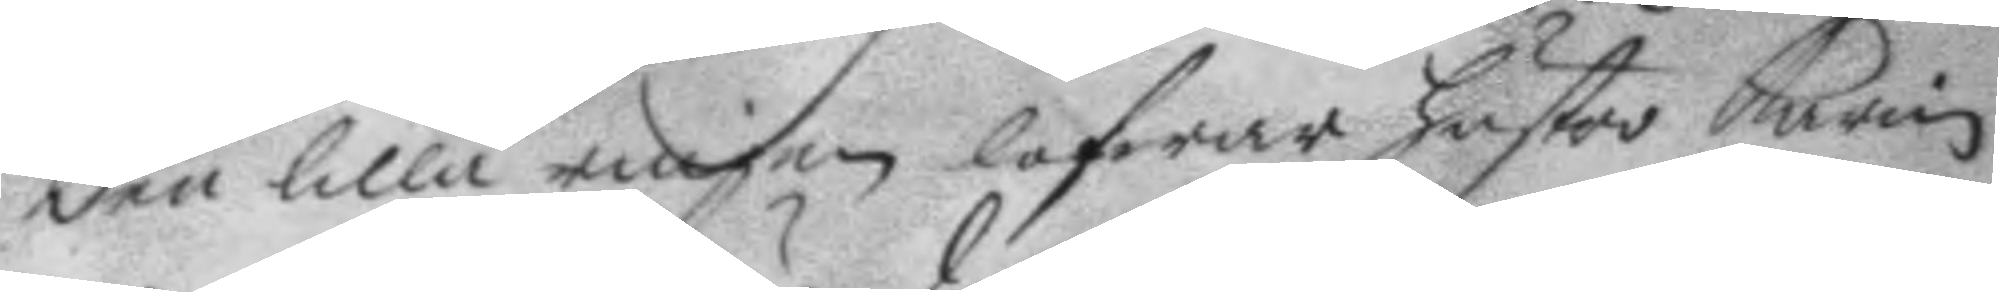den lilla ringen lofwar hustro Karin
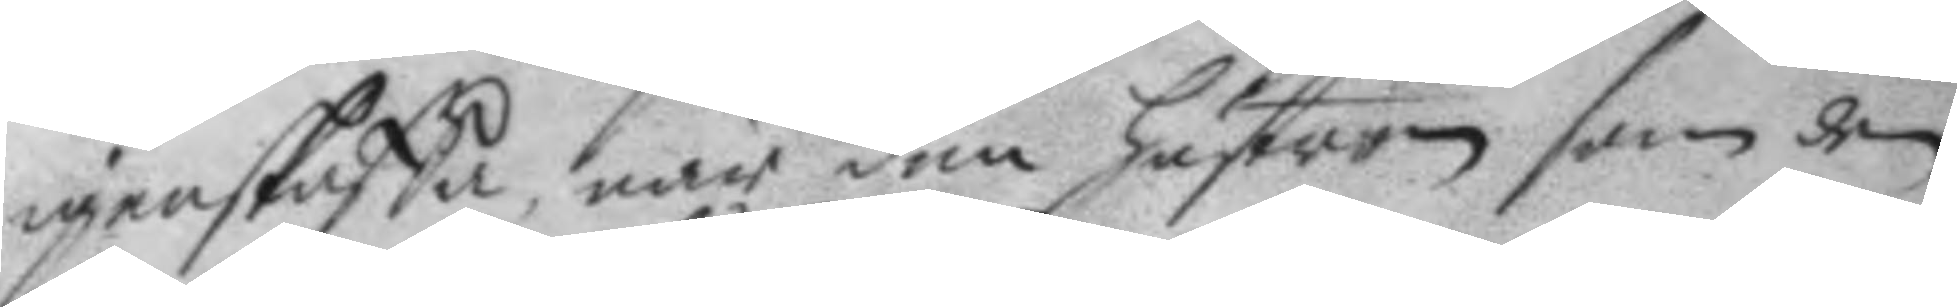igenskaffa, när den hustron som den
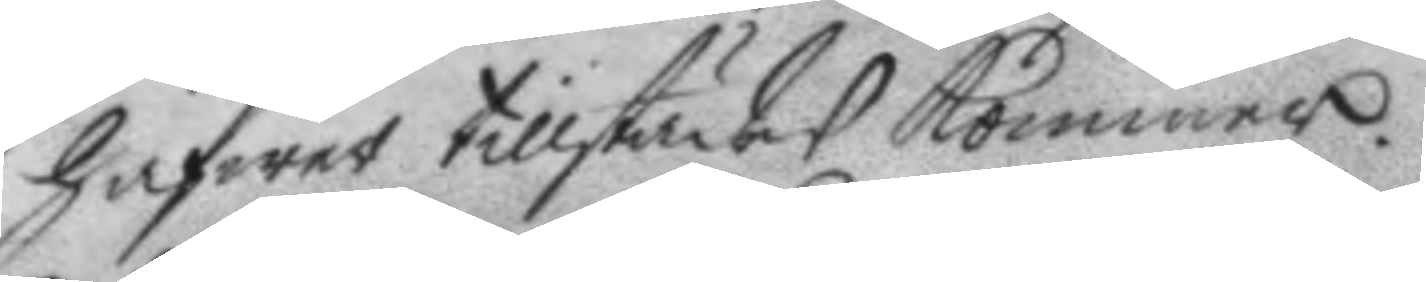hafwer tillstädes kommer.
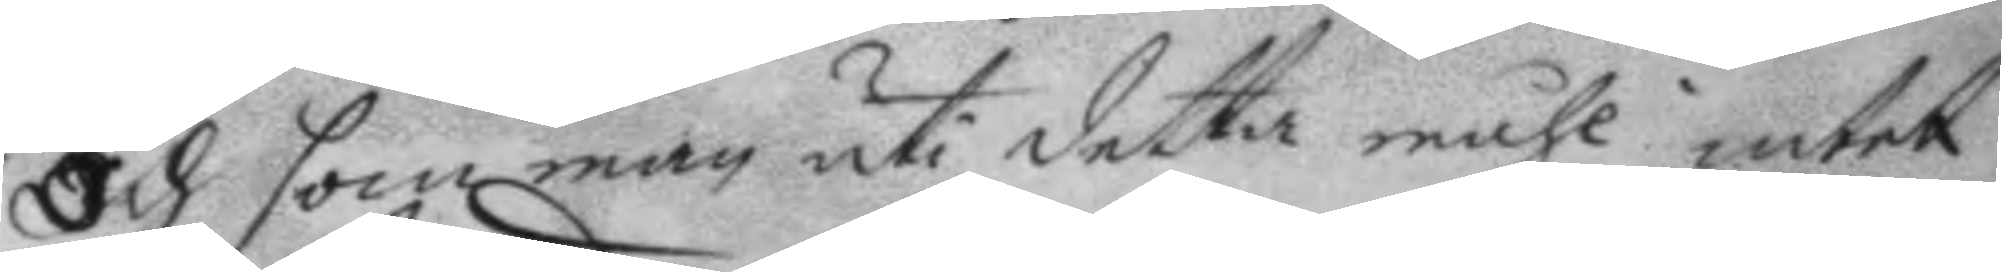Och som man uti detta måhl intet
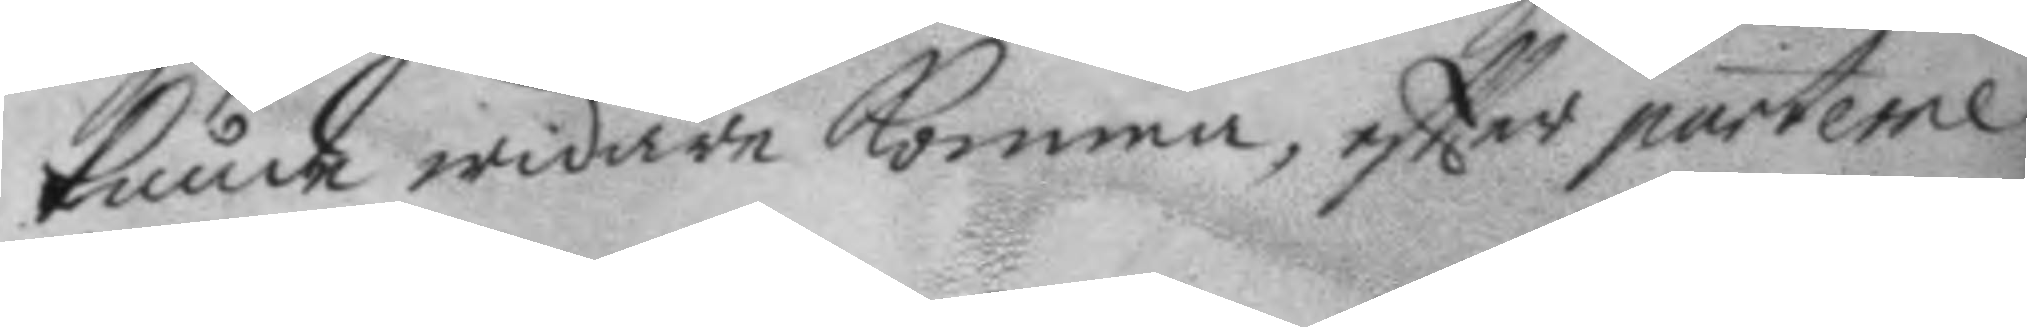kunde widare komma, eftter parterne
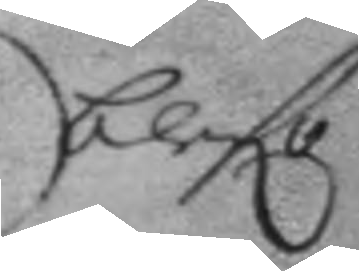blefo
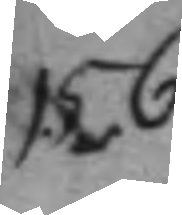156.
